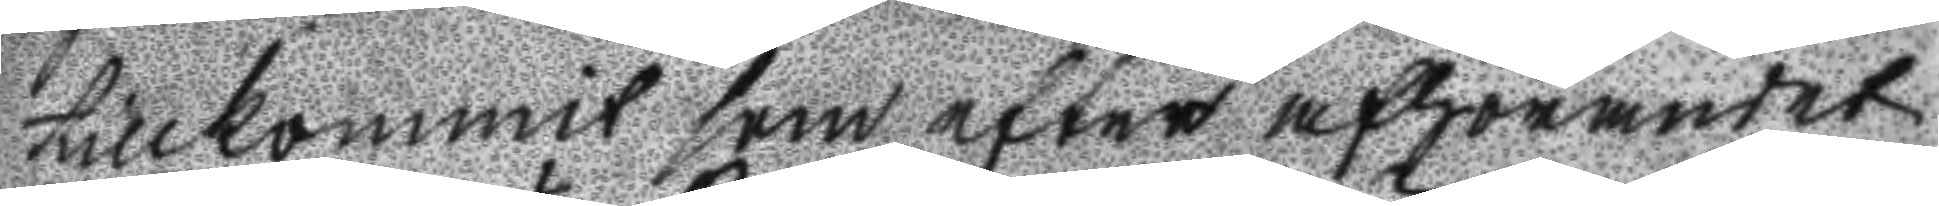tillkommit som efter afhörandet
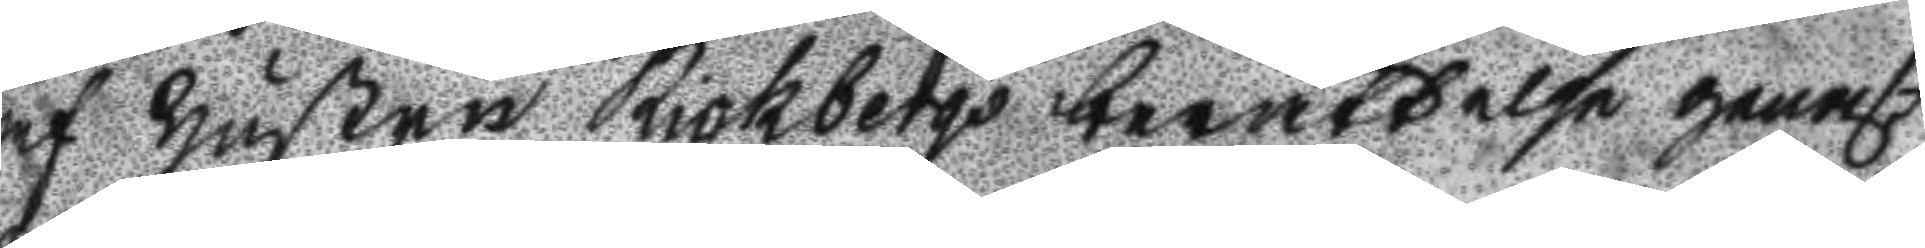af hustru Rickbergs berättelse genast
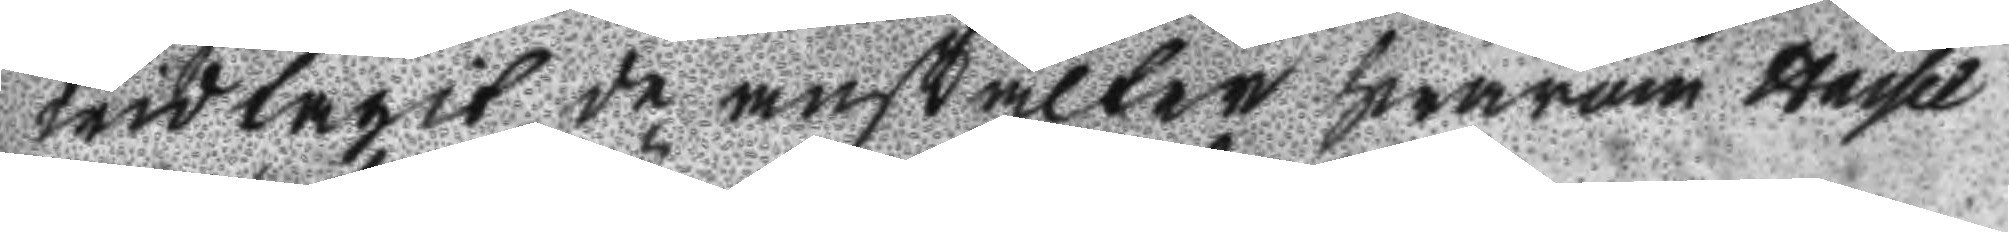widtagit de anstalter hwarom hassel
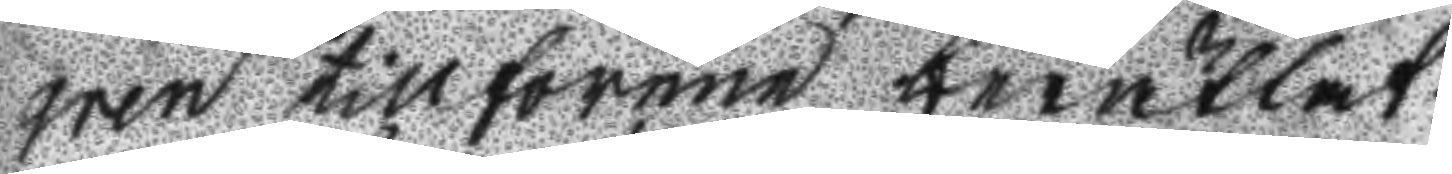gren tillförene berättat.
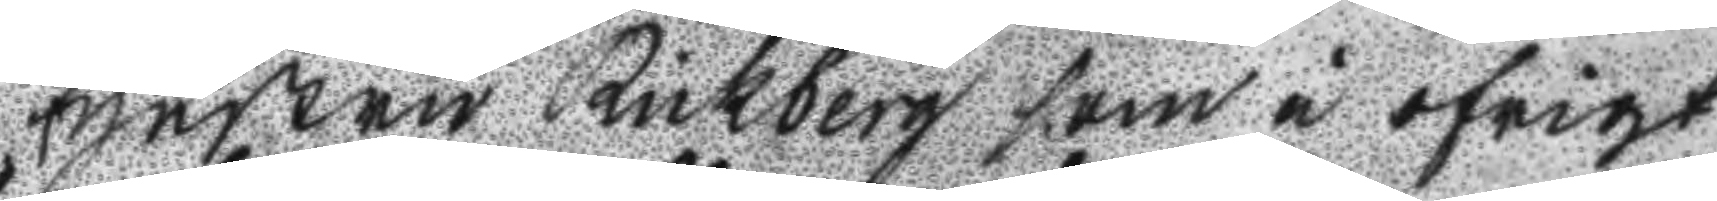Hustru Rickberg som i öfrigt
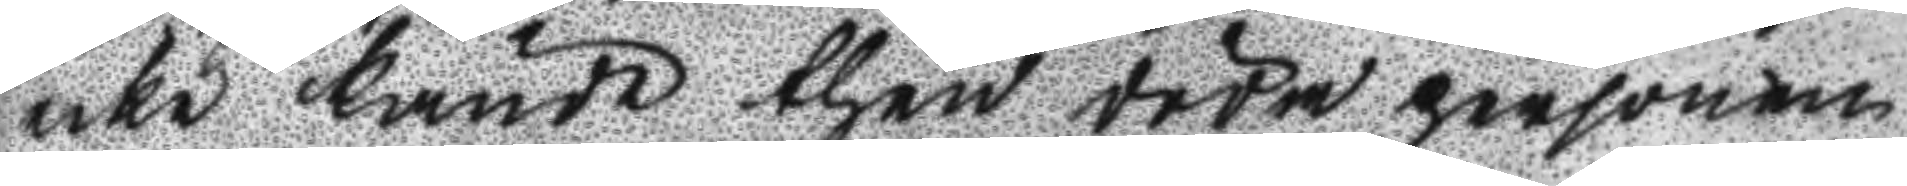icke kände then döda personen
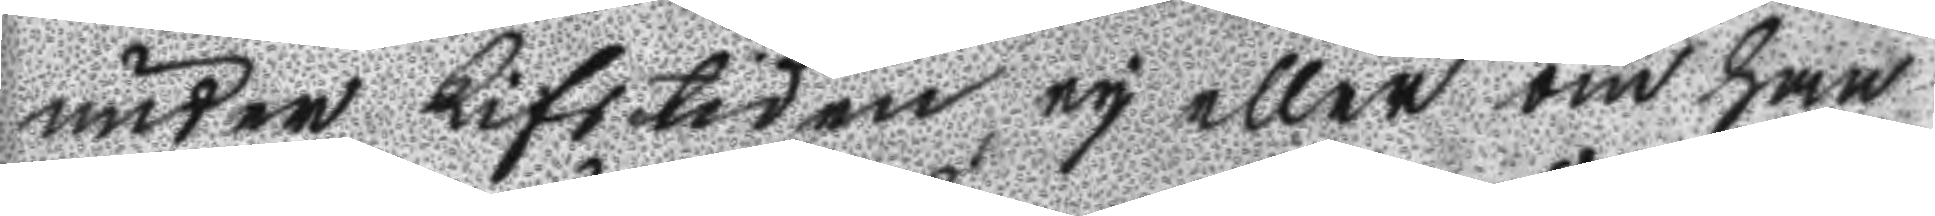under Lifstiden ey eller om han
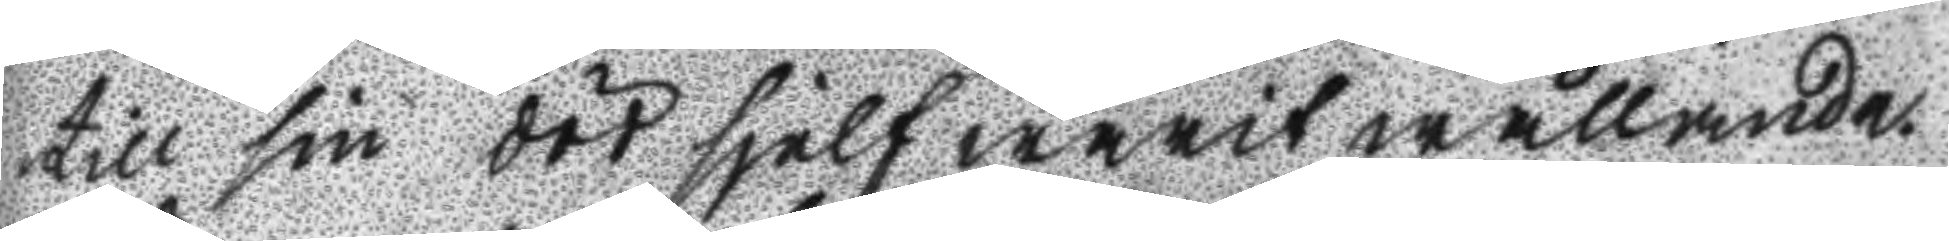till sin död sjelf warit wällande
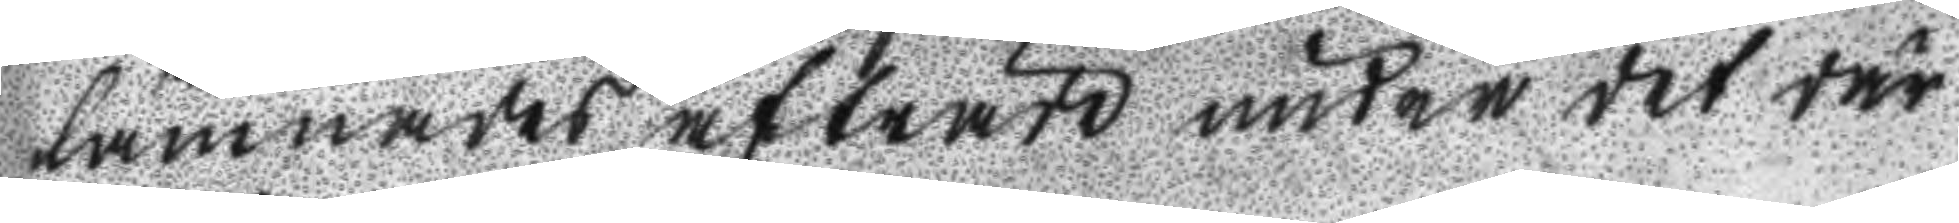lämnades afträde under det där
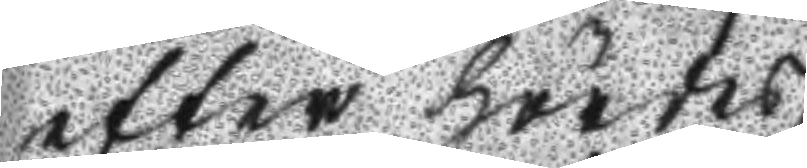efter hördes.
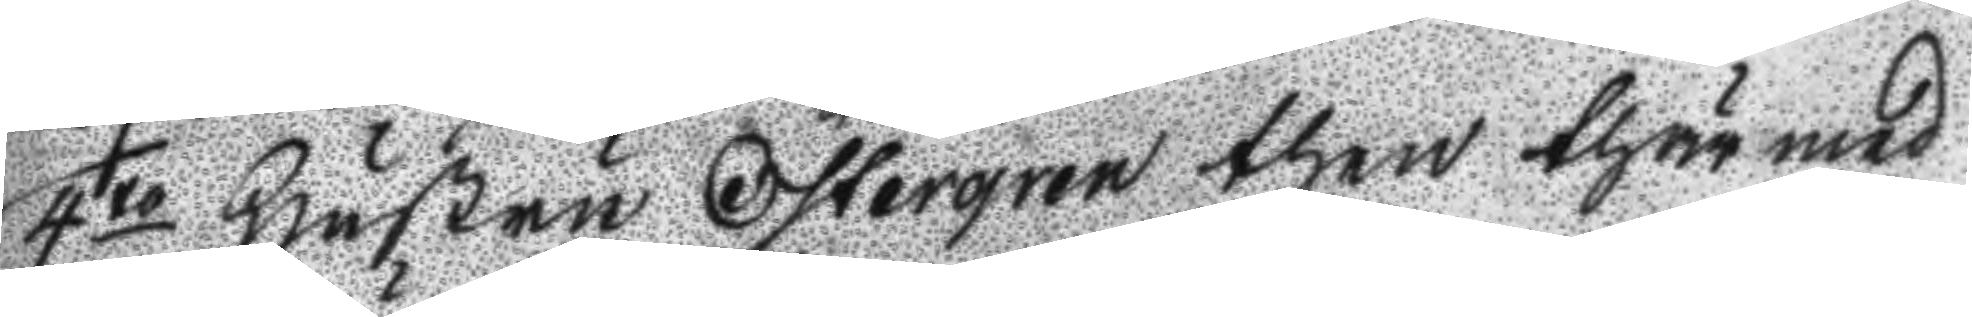4to Hustru Östergren then thär med
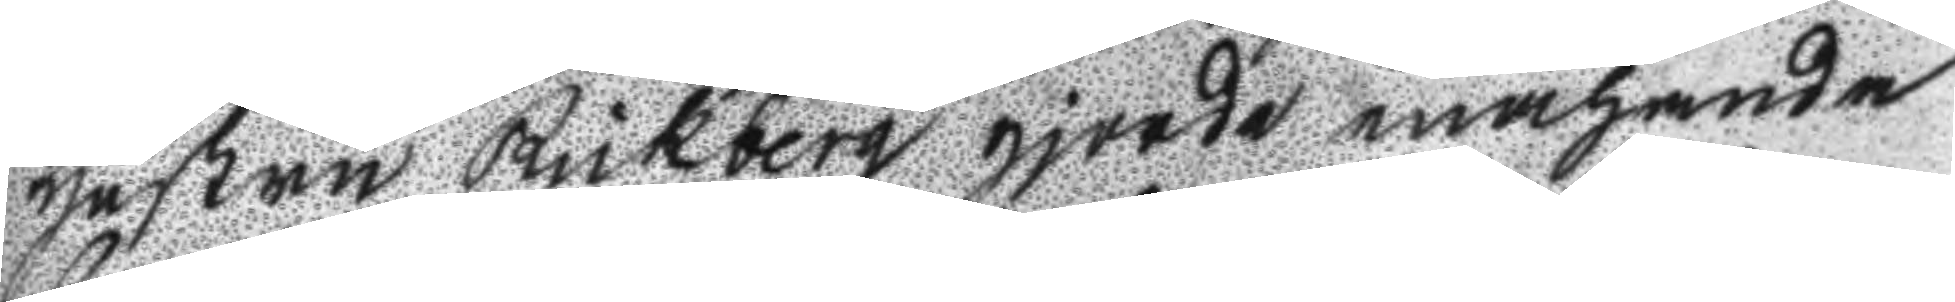hustru Rickberg gjorde enahanda
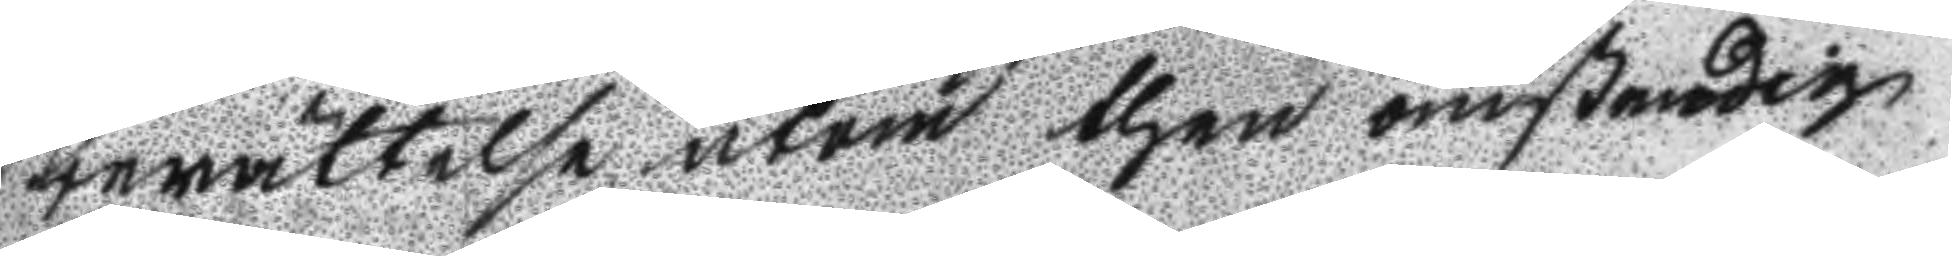berättelse utom then omstendig
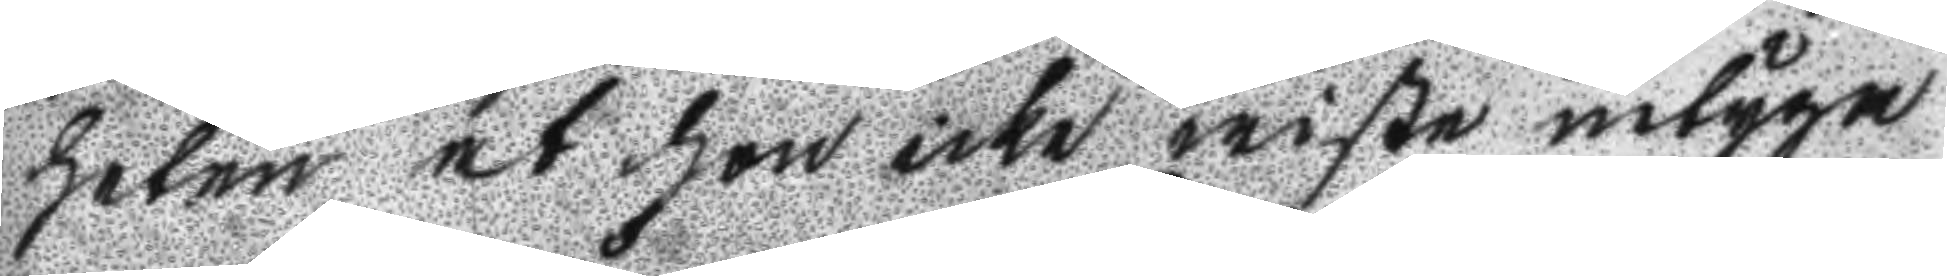heten at hon icke wiste intyga
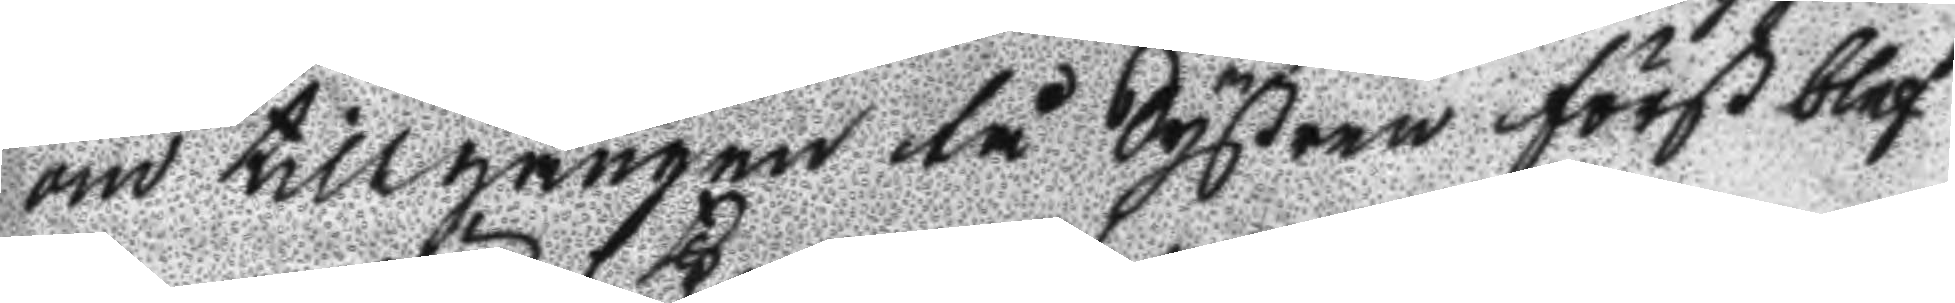om tillgången tå Systren först blef
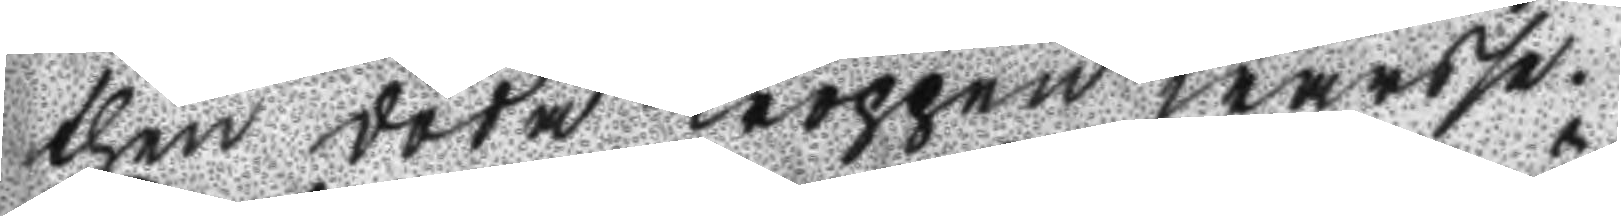then döda kroppen warse.
